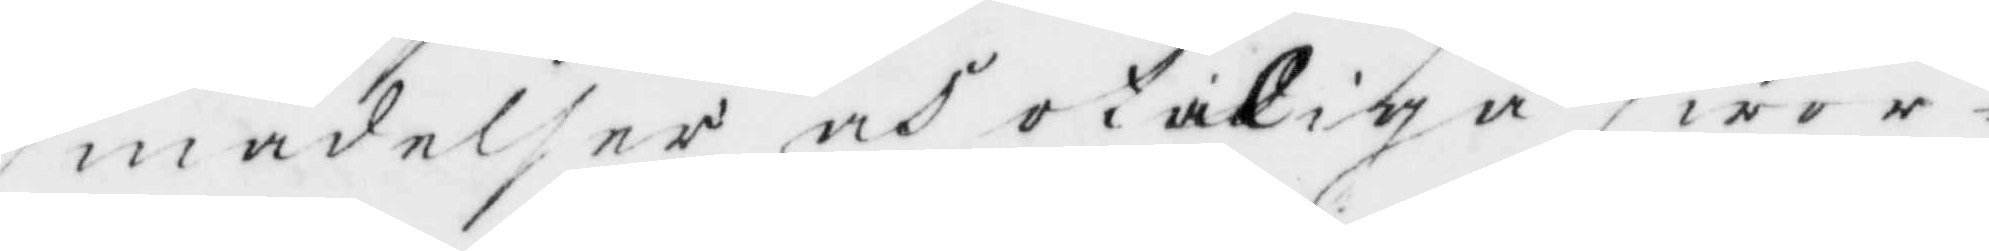smädelser och otukige swor¬
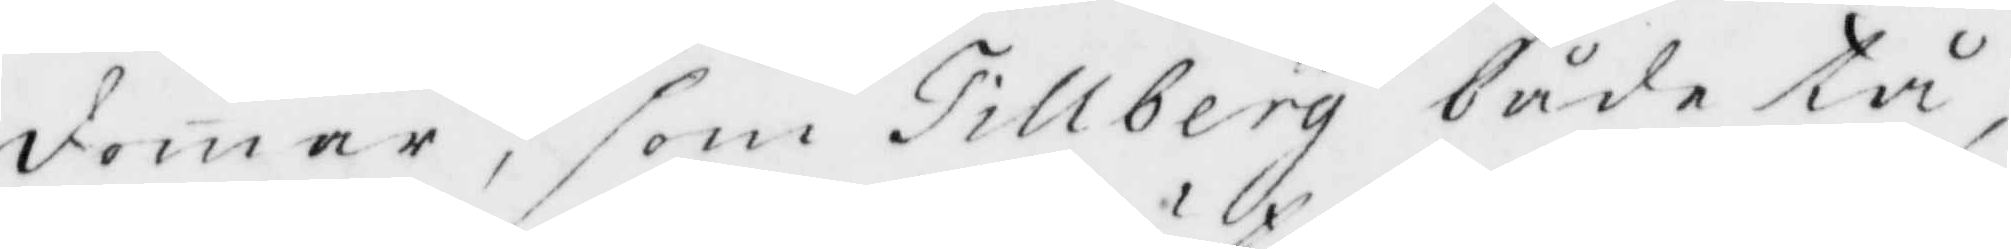domar, som Tillberg både tå
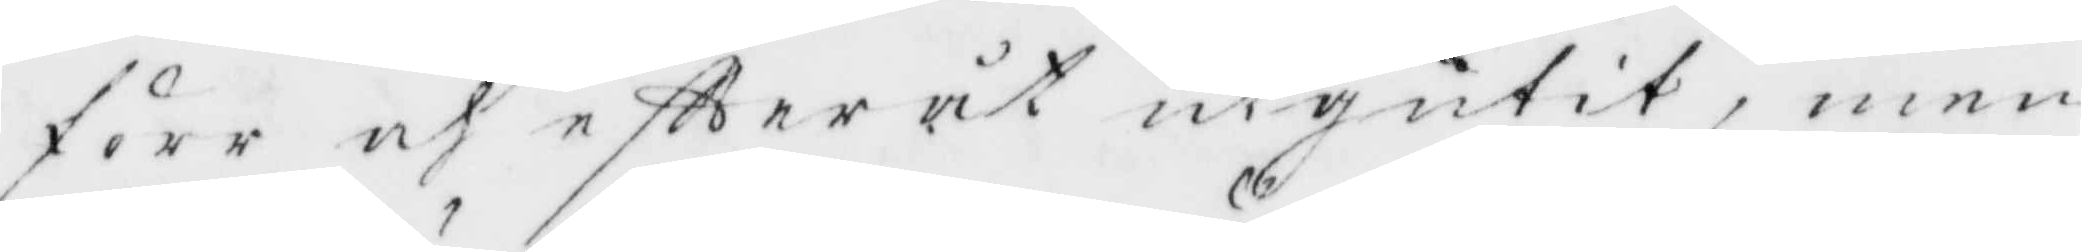före och eftter åt utgutit, men
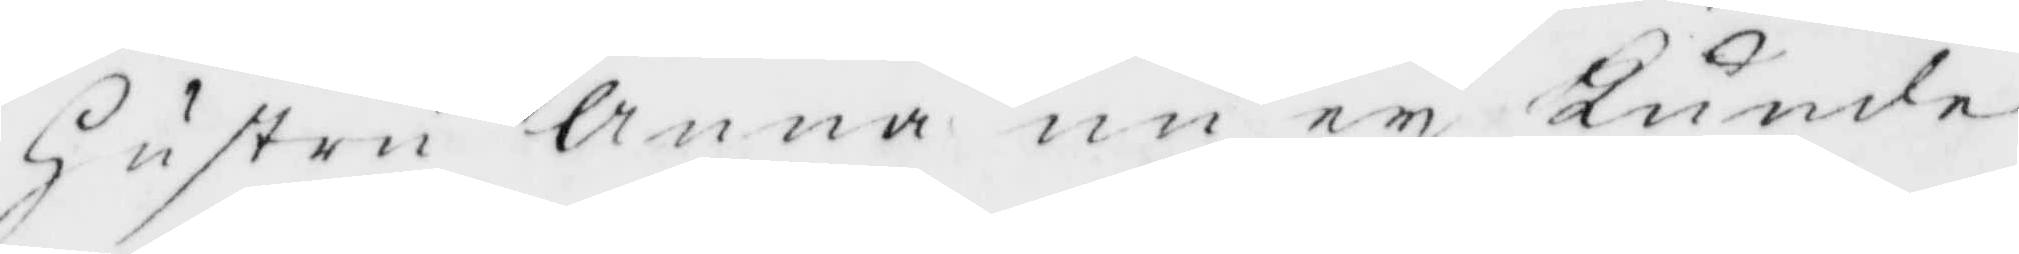Hustru Anna nu ey Kunde
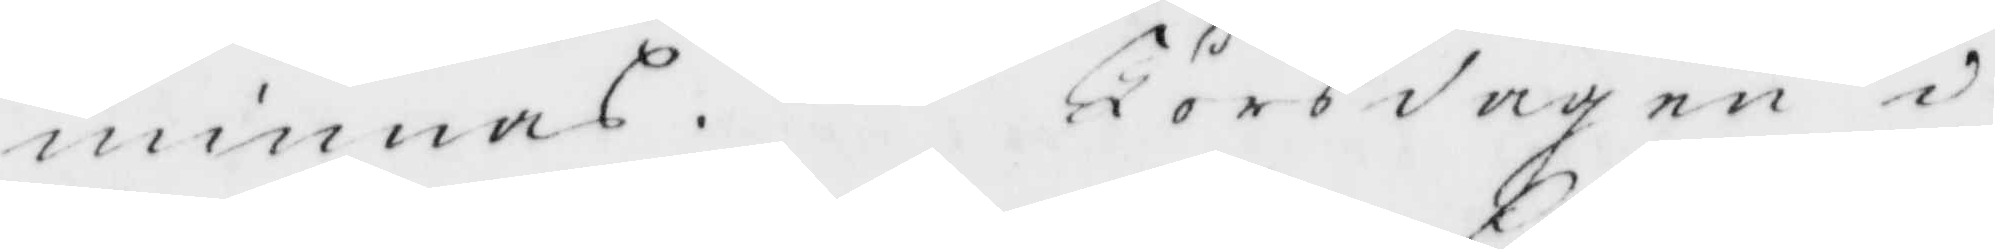minnas. Törsdagen i
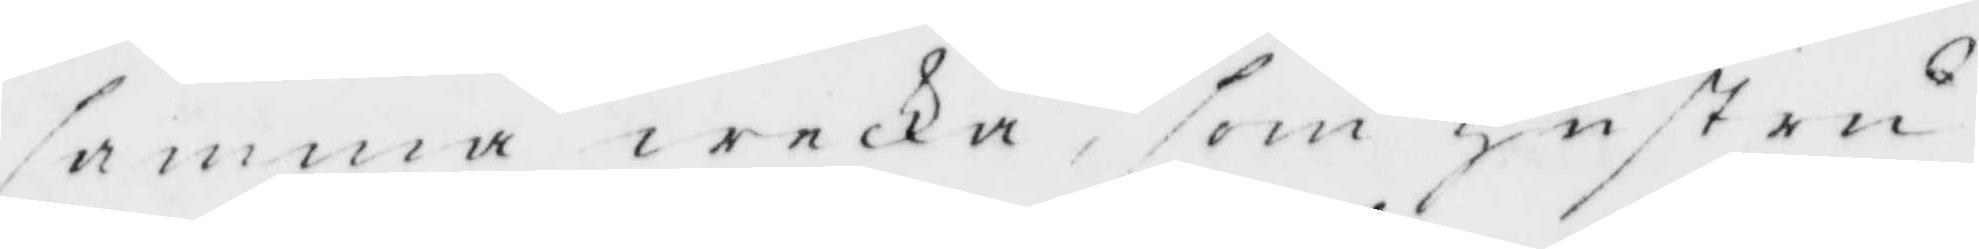samma wecka, som Hustru
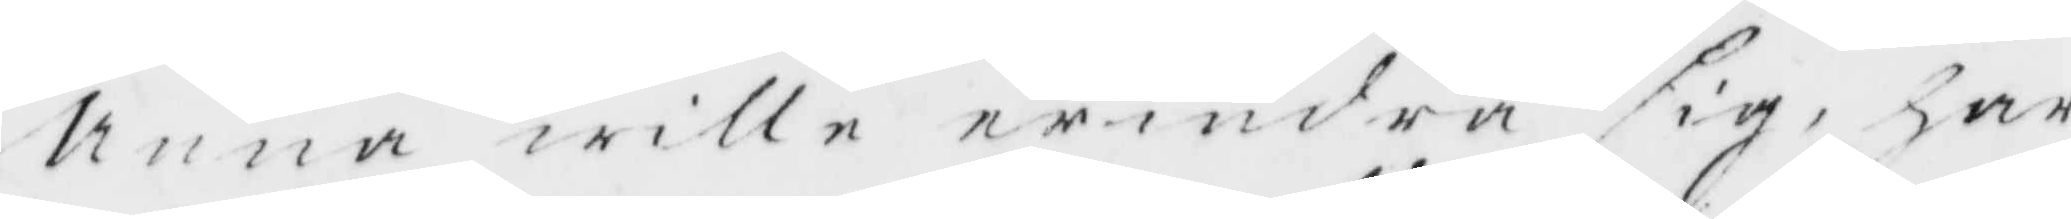Anna wille erindra sig, har
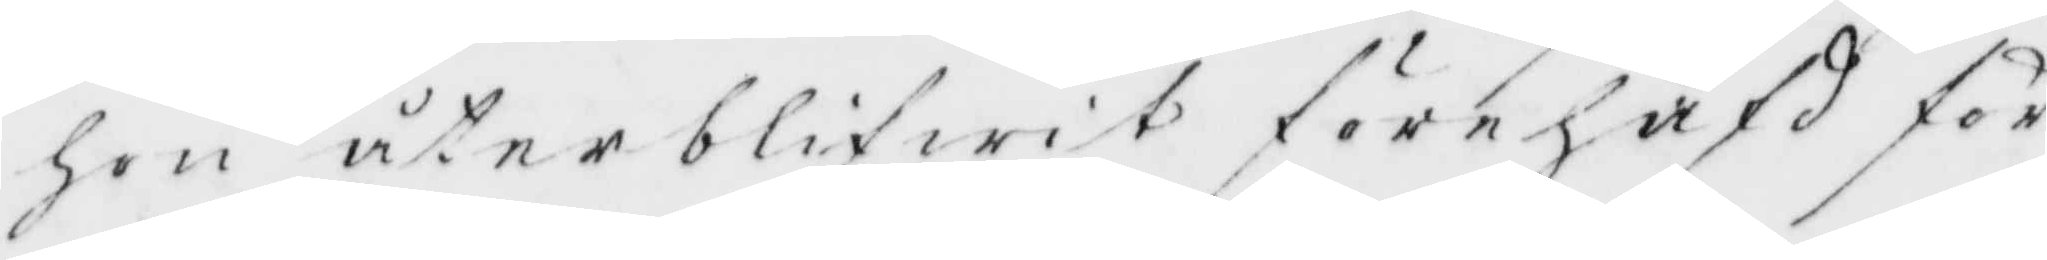hon åter blifwit förehafd för
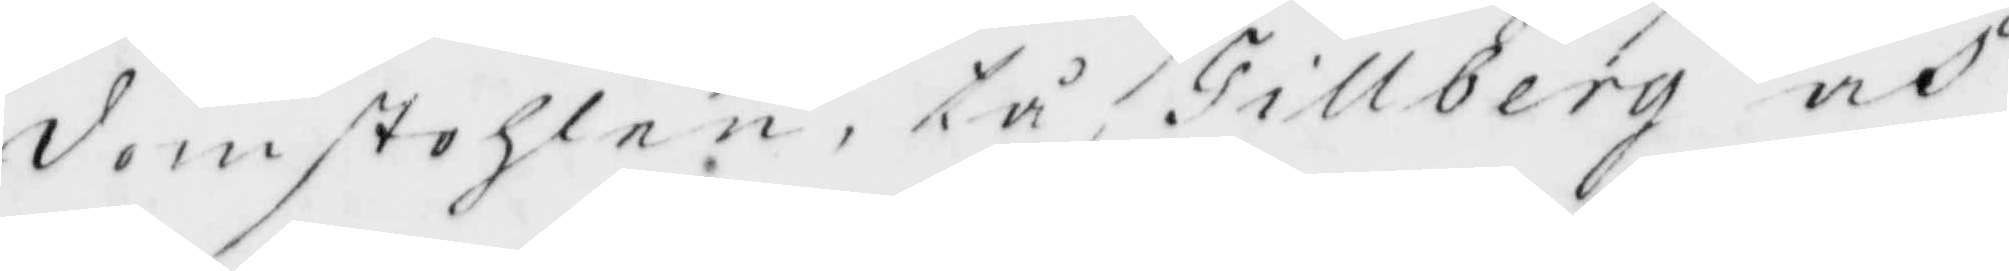domstolen, tå Tillberg och
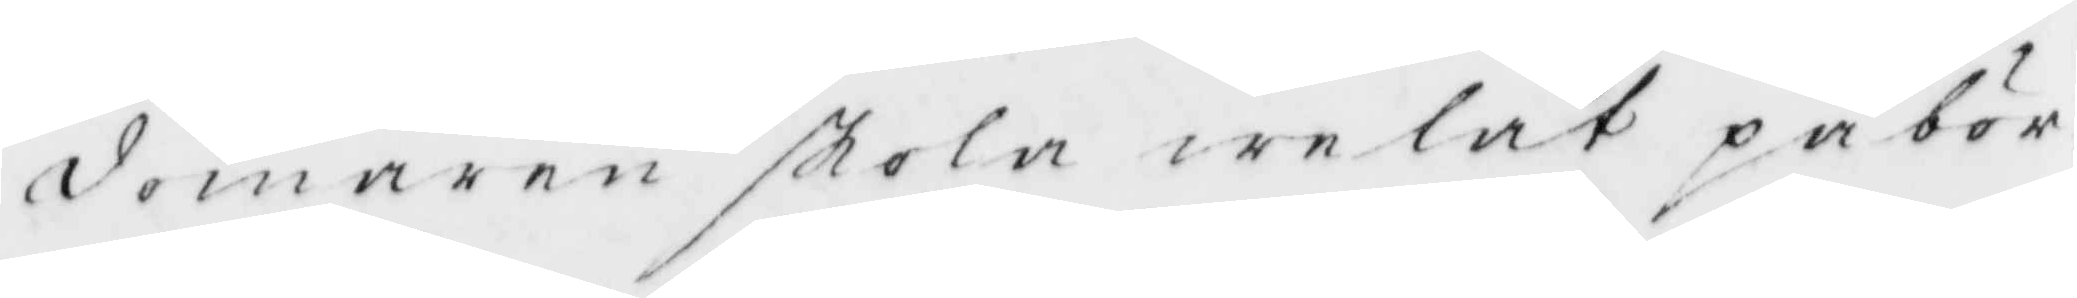domaren skola welat påbör¬
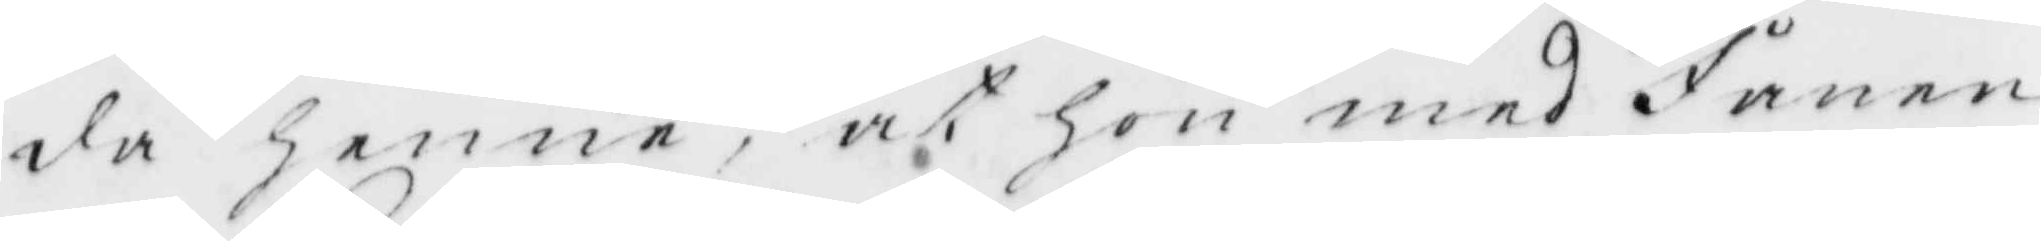da henne, at hon med Fånen
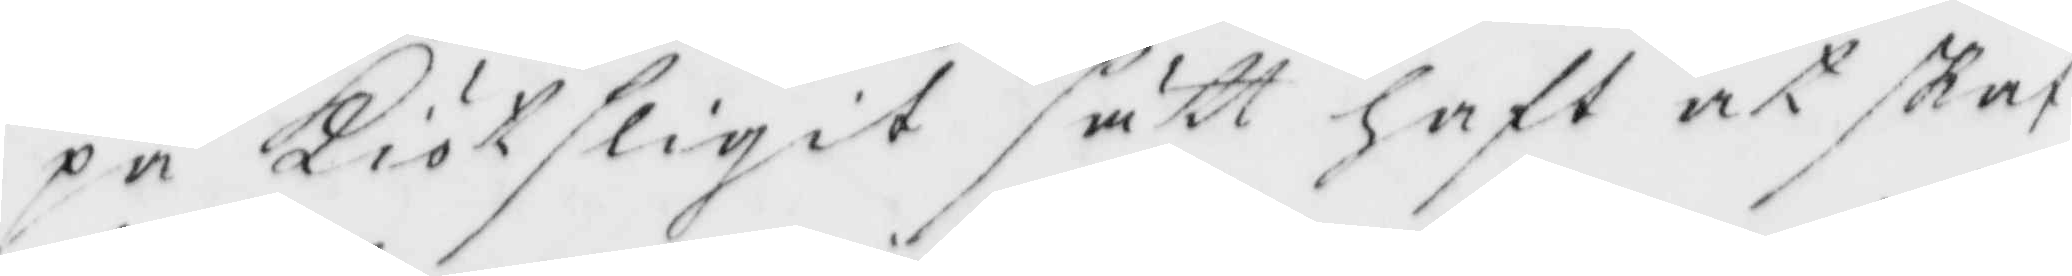på Kiötskigit sätt ghaft at skaf¬
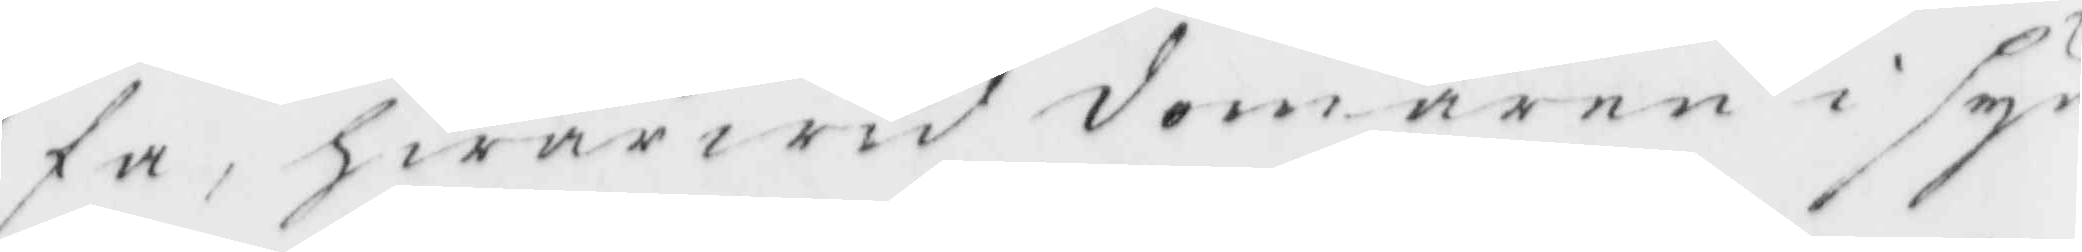fa, hwarwid domaren i syn¬
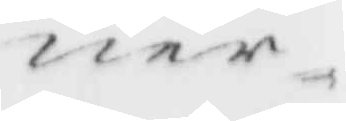ner¬
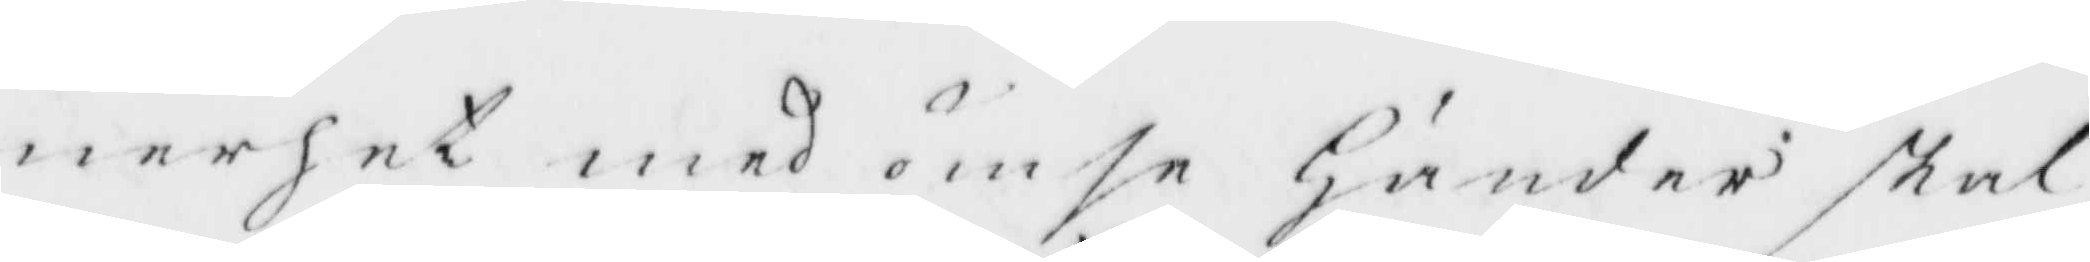nerhet med ömse Händer skal
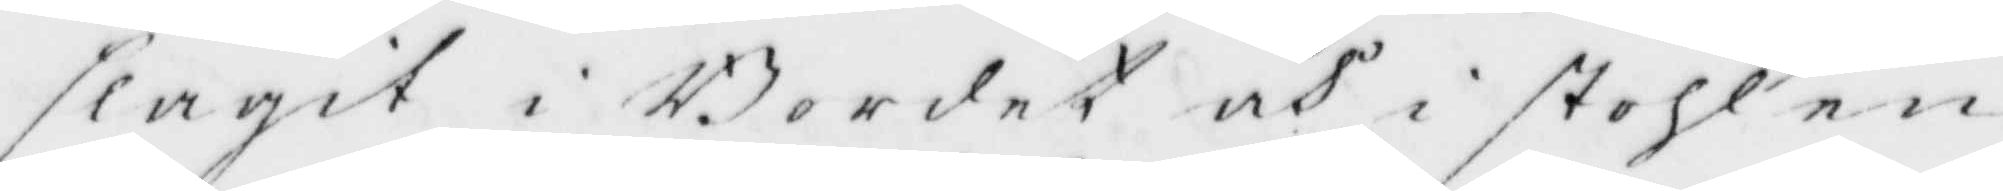slagit i Bordet och i sthlen
